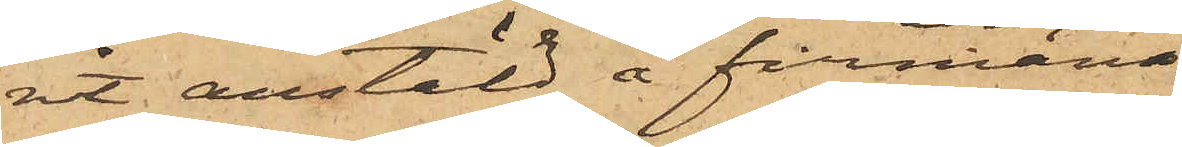rit anstäld å firman
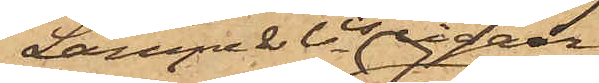Lampes & Ci cigarr¬
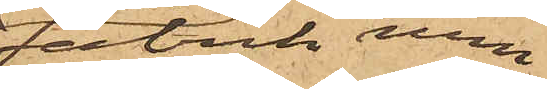Fabrik men
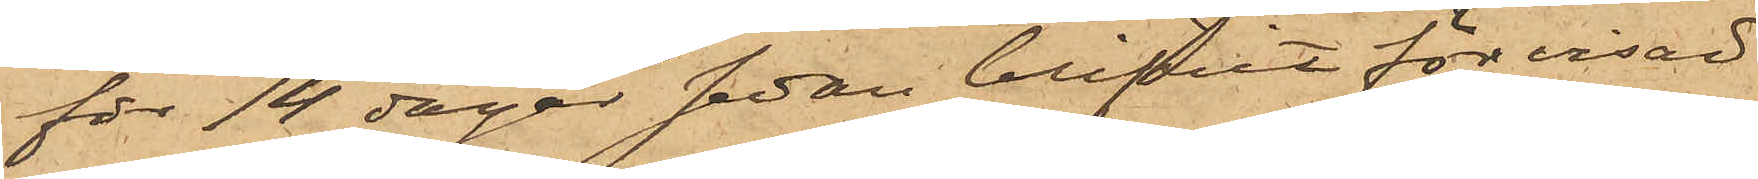för 14 dagar sedan blifvit för visad
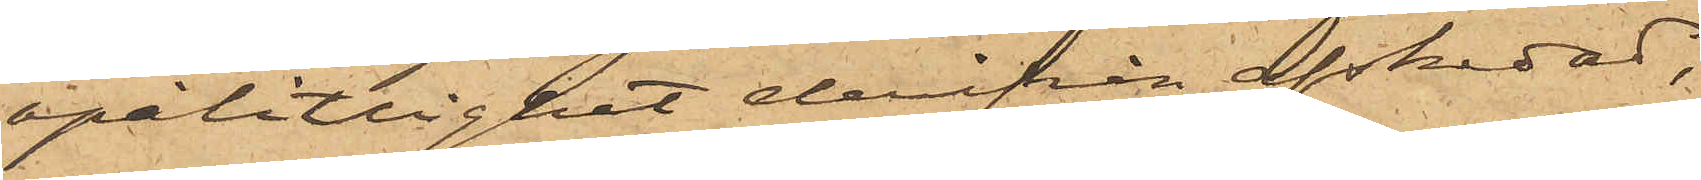opålitlighet derifrån afskedad,
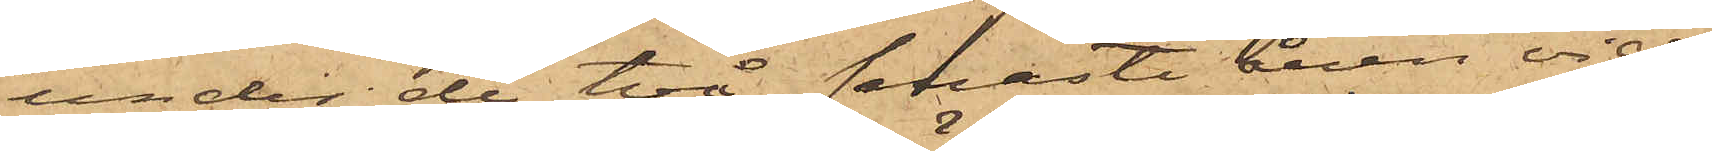under de två senaste åren vid
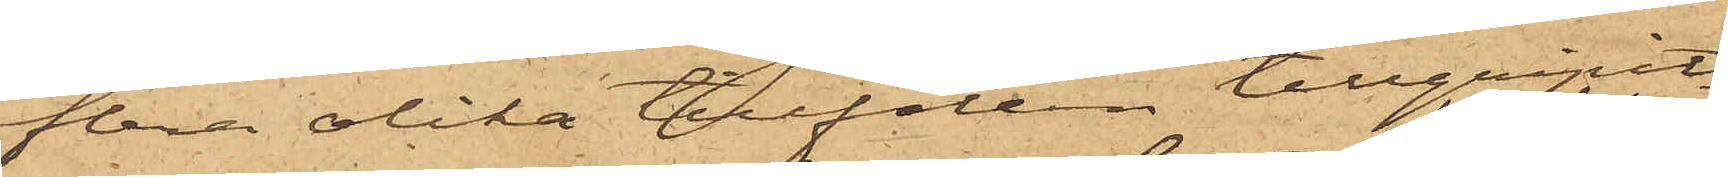flera olika tillfällen tillgripit
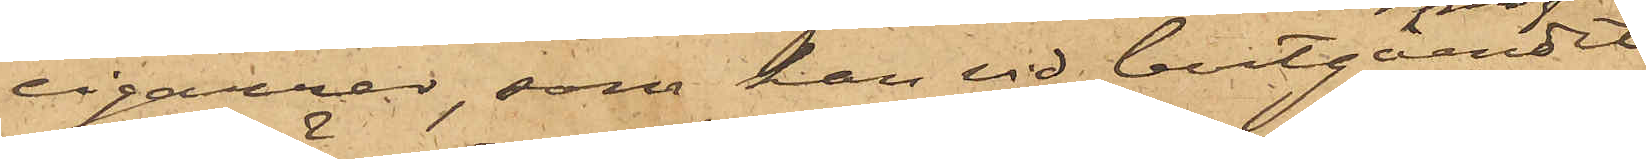cigarrer, som han vid bortgåendet
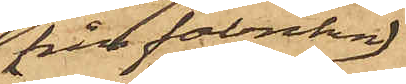från fabriken
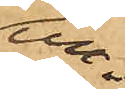un¬
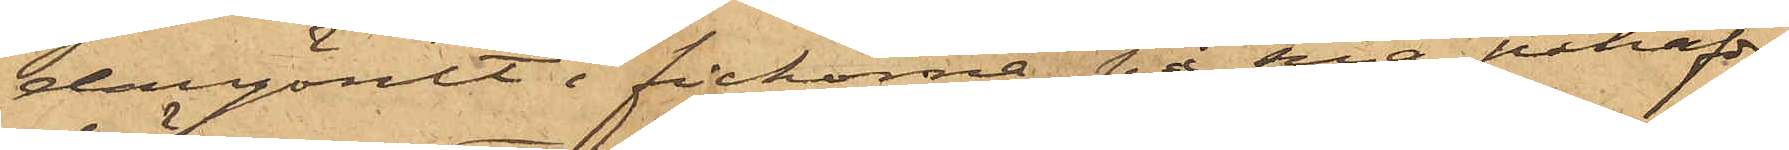dangömt i fickorna på sina påhafde
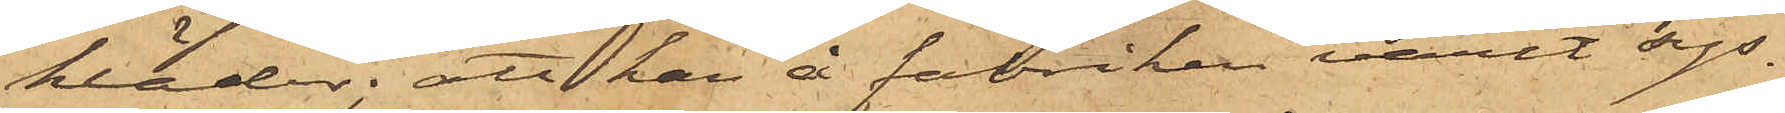kläder; att han å fabriken varit sys¬
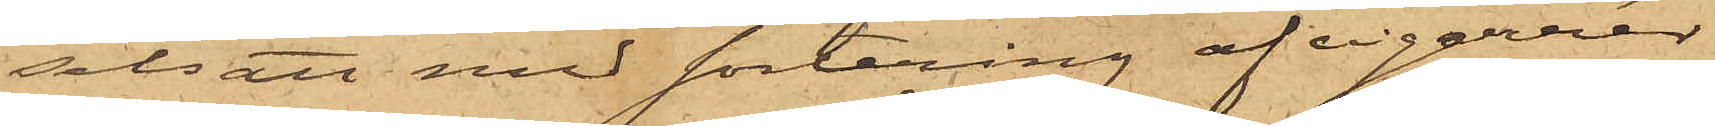selsatt med sortering af cigarrer
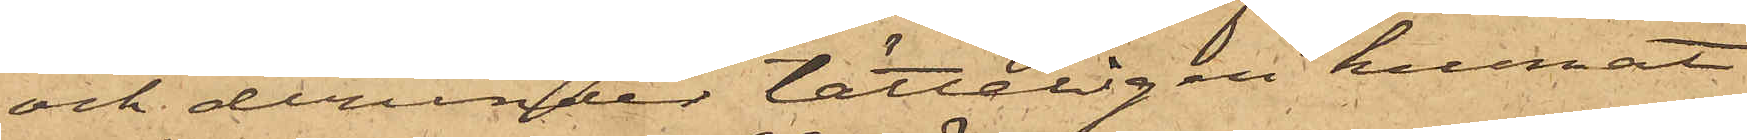och derunder lätteligen kunnat
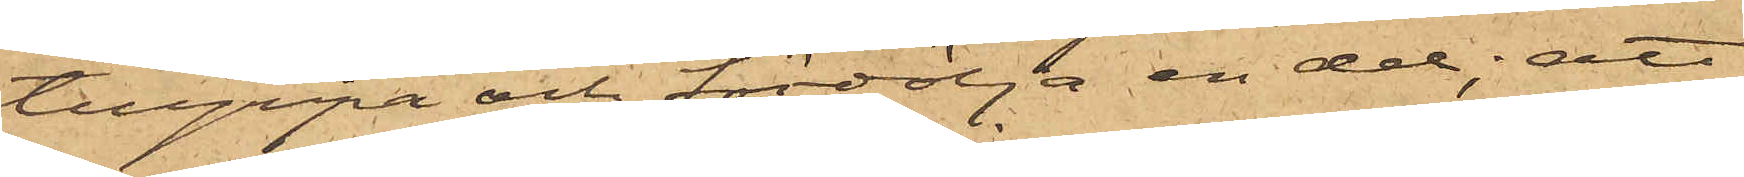tillgripa och fördölja en del; att
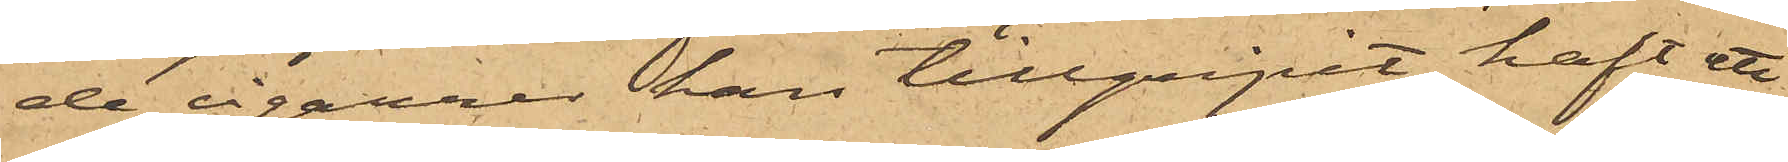de cigarrer han tillgripit haft ett
